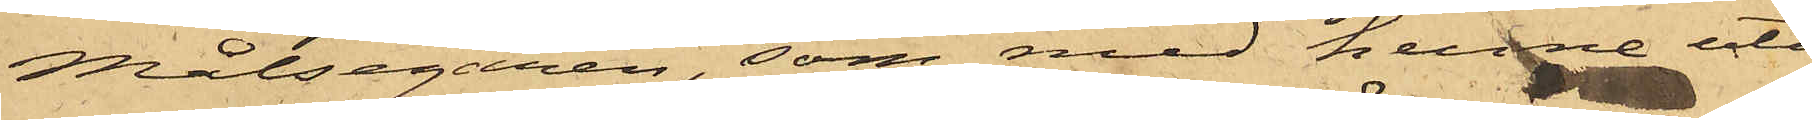Målsegaren, som med henne uti
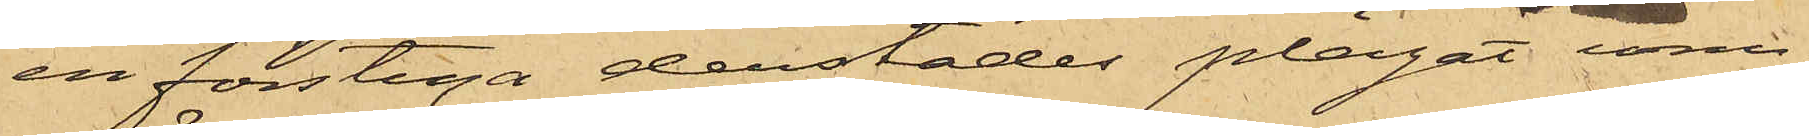en förstuga derstädes plägat um¬
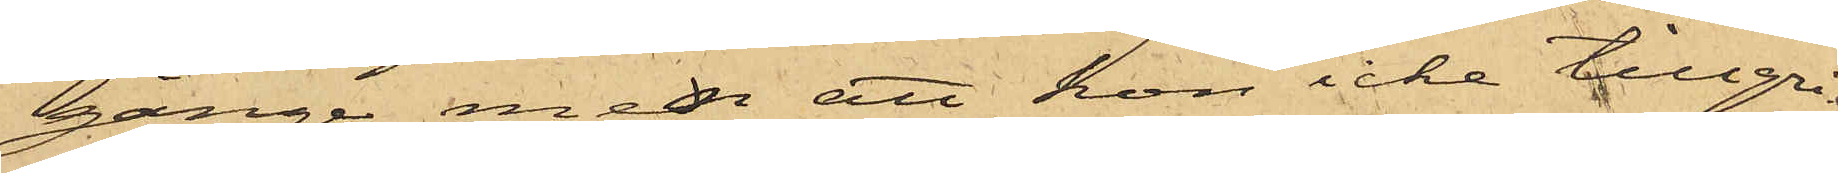gänge, men att hon icke tillgri¬
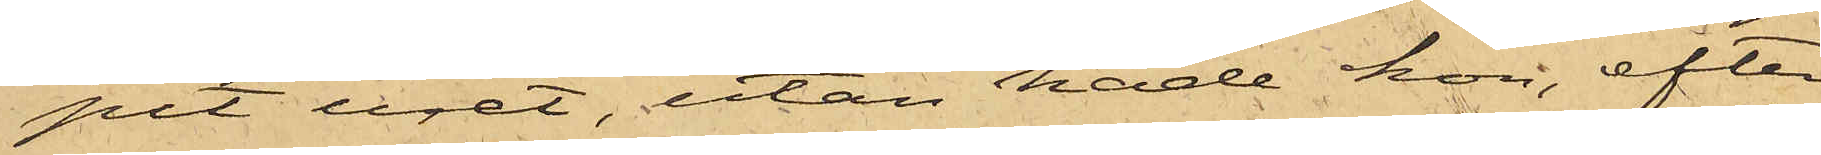pit uret, utan hade hon, efter
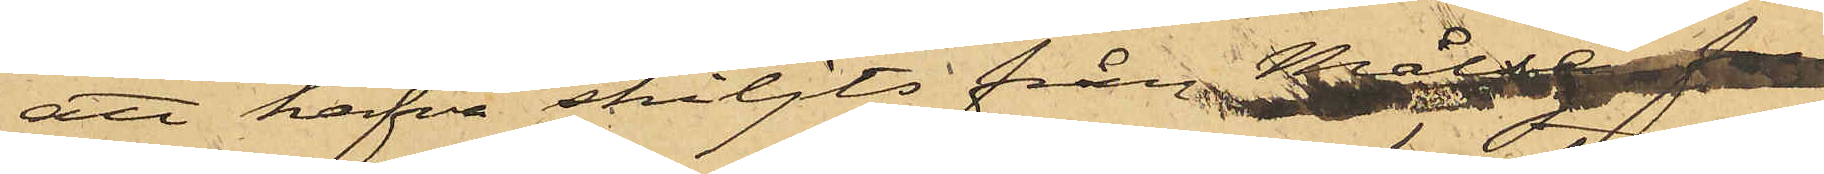att hafva skiljts från Målseg. fun¬
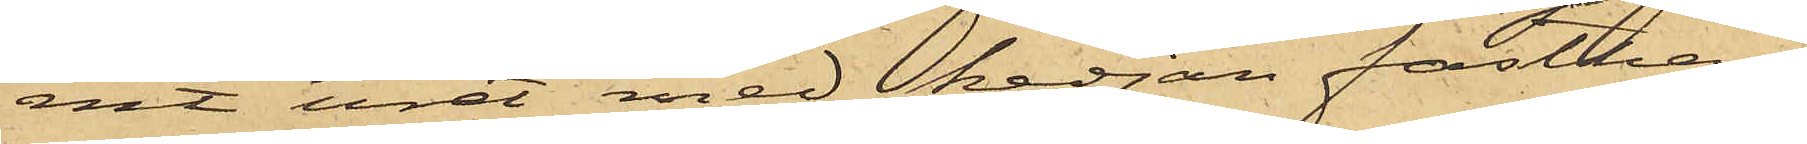nit uret med kedjan fasthän¬
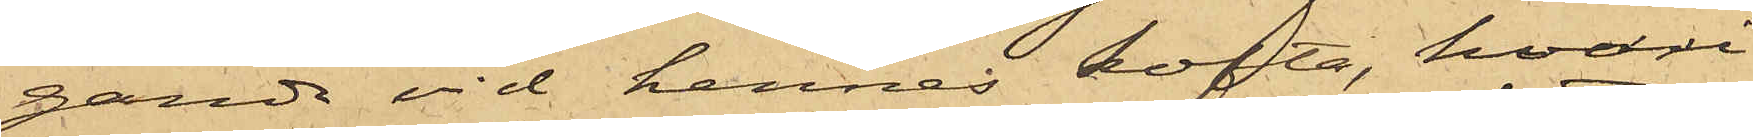gande vid hennes kofta, hvari
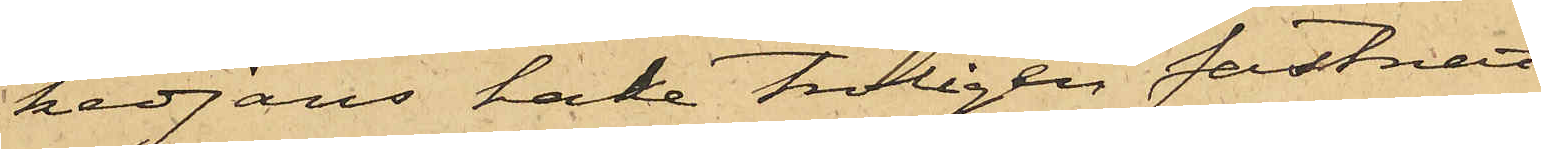kedjans hake troligen fastnat
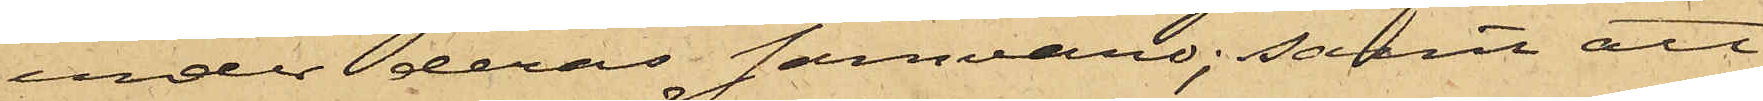under deras samvaro; samt att
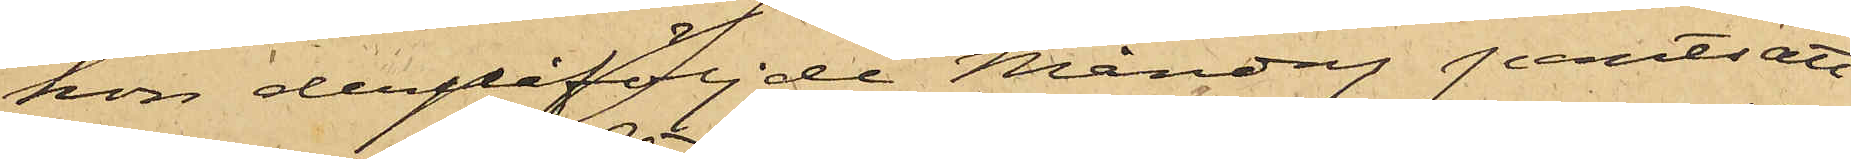hon derpåföljde Måndag pantsatt
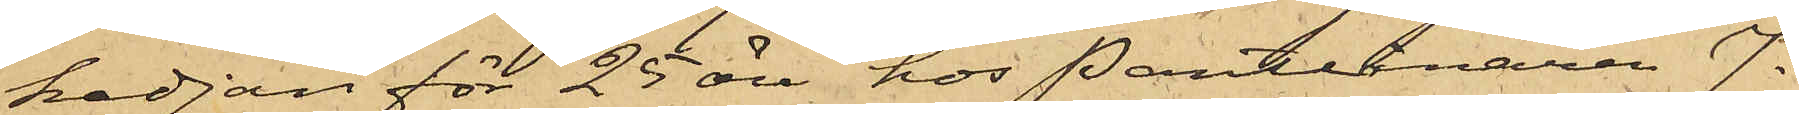kedjan för 25 öre hos Pantlånaren J.
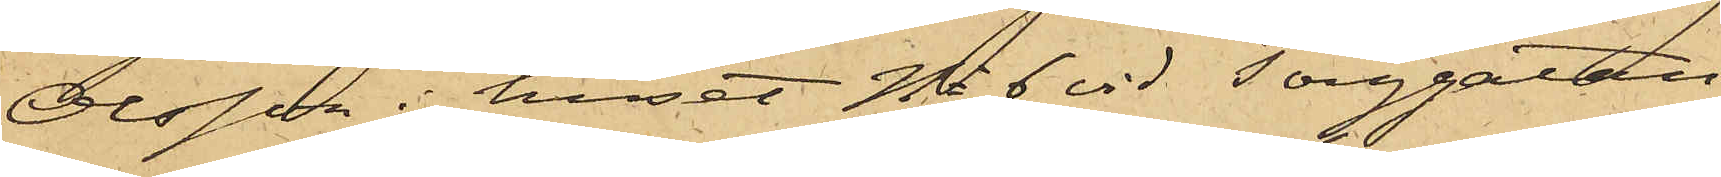Olsson i huset No 6 vid Torggatan
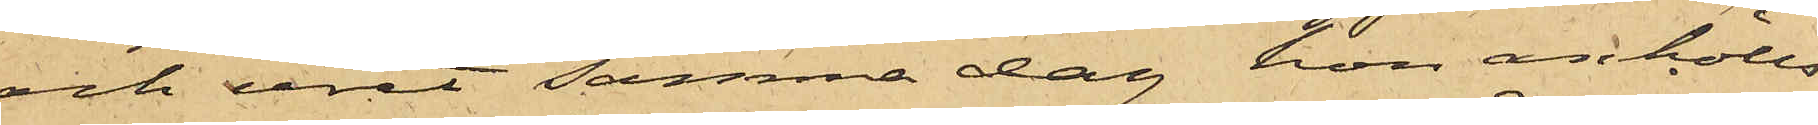och uret samma dag hon anhölls
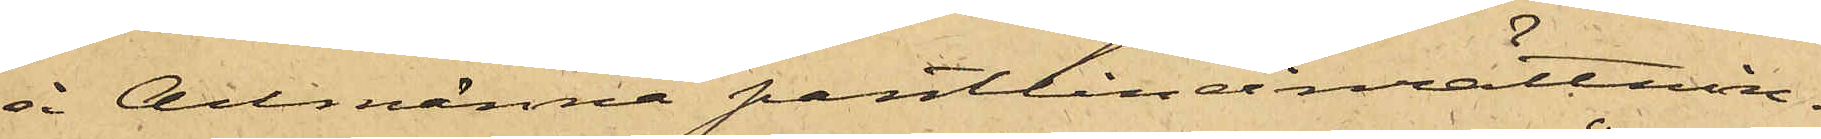å Allmänna pantlåneinrättnin¬
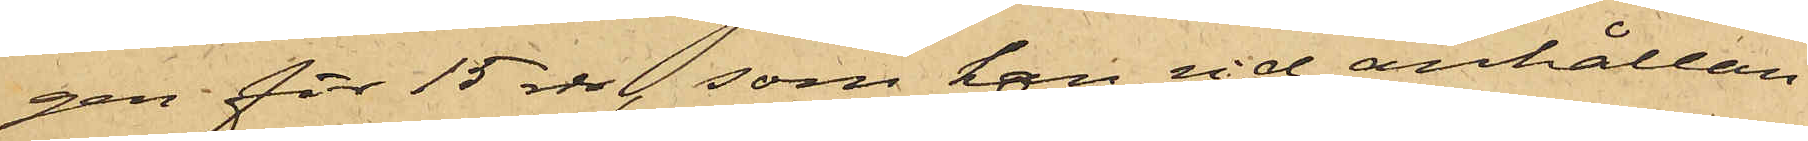gen för 15 rdr, som han vid anhållan¬
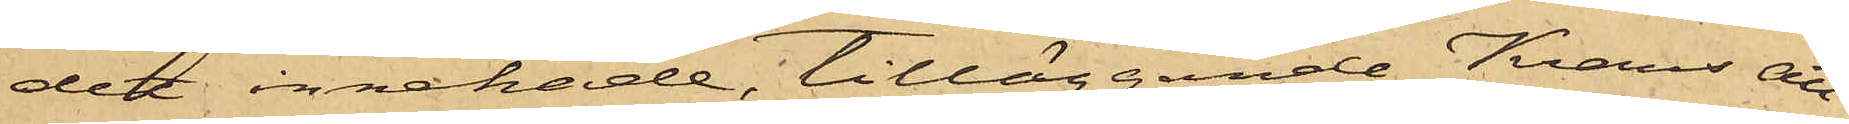det innehade, tilläggande Krans att
